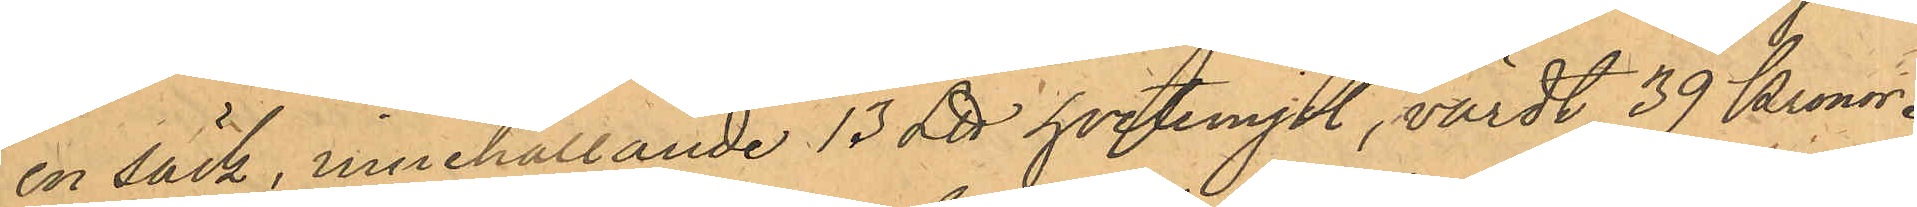en säck, innehållande 13 L℔ hvetemjöl, värdt 39 Kronor.
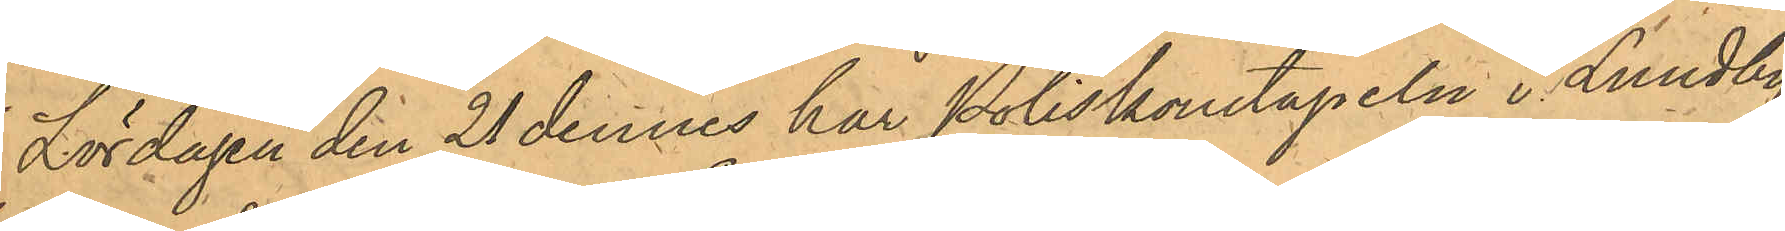Lördagen den 21 dennes har Poliskonstapeln i Lundby
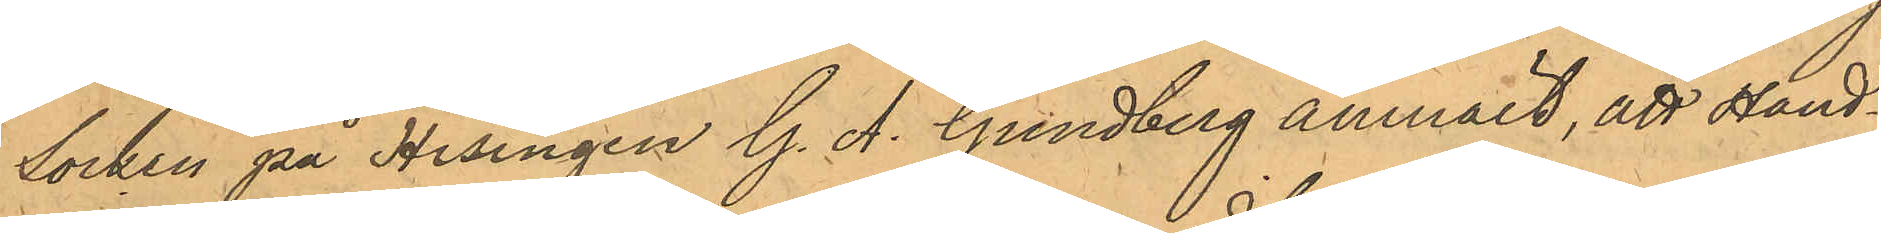Socken på Hisingen G. A. Gundberg anmält, att Hand¬
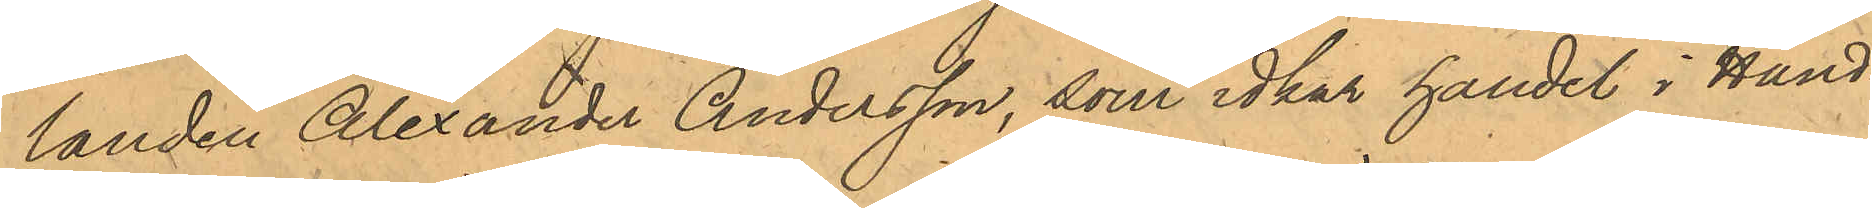landen Alexander Andersson, som idkar handel i Hand¬
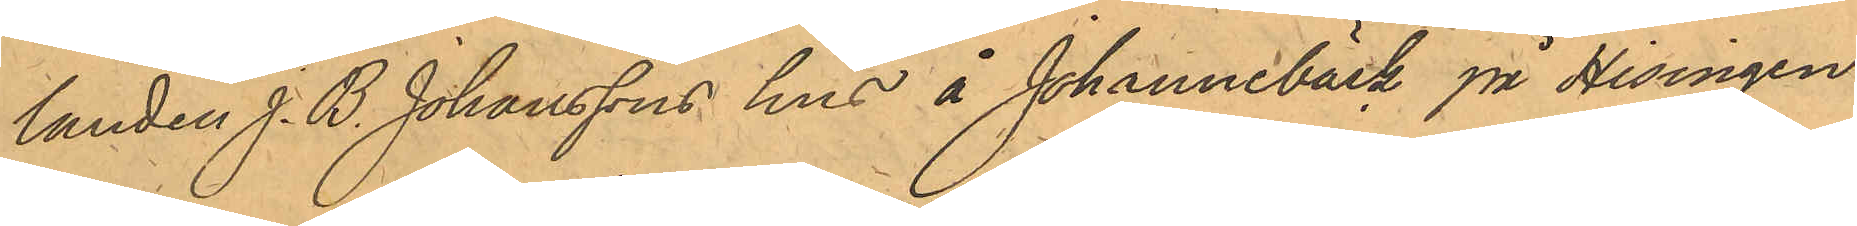landen J. B. Johanssons hus å Johannebäck på Hisingen
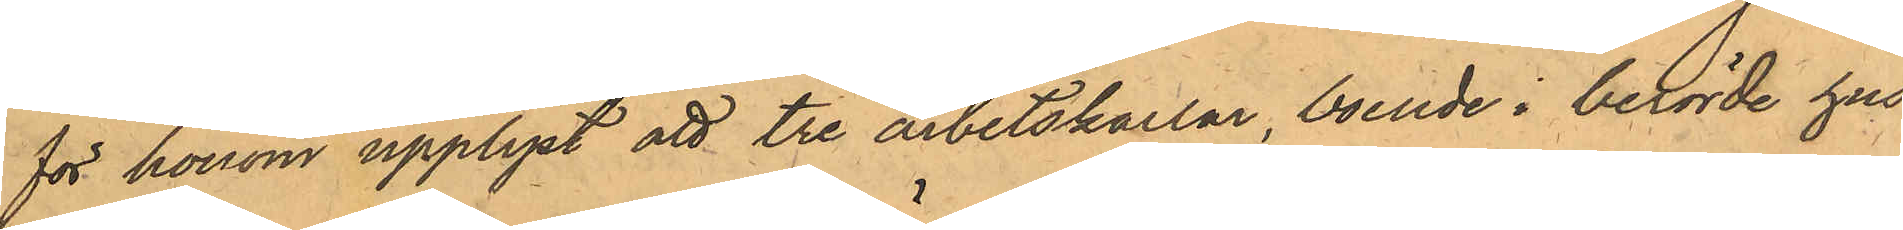för honom upplyst att tre arbetskarlar, boende i berörde hus,
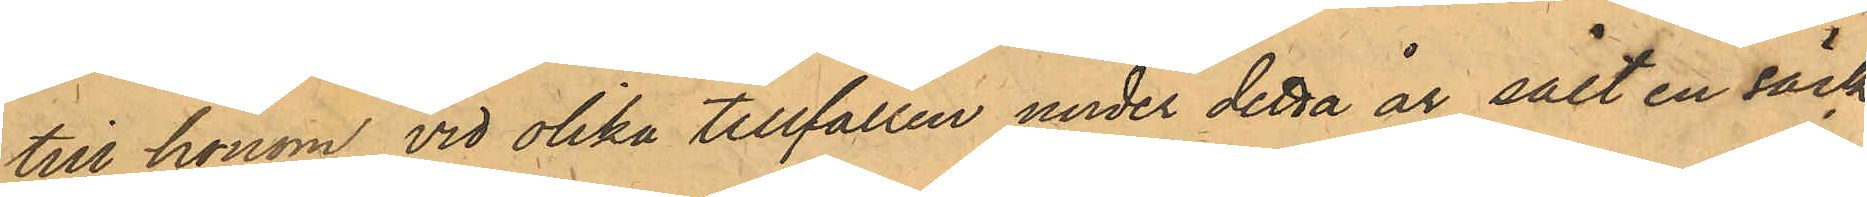till honom vid olika tillfällen under detta år sålt en säck
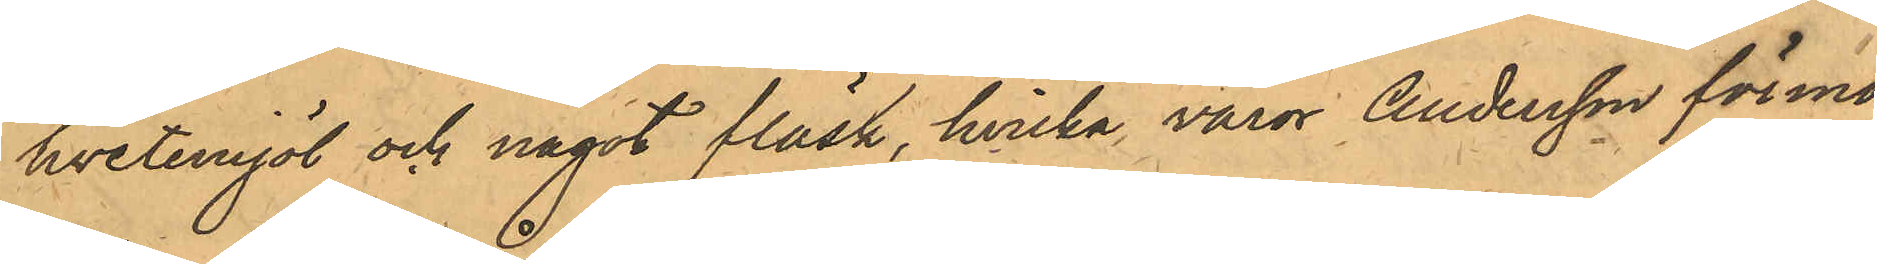hvetemjöl och något fläsk, hvilka varor Andersson förmo¬
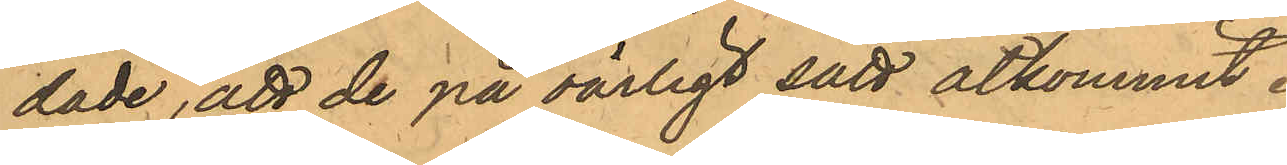dade, att de på oärligt sätt åtkommit.
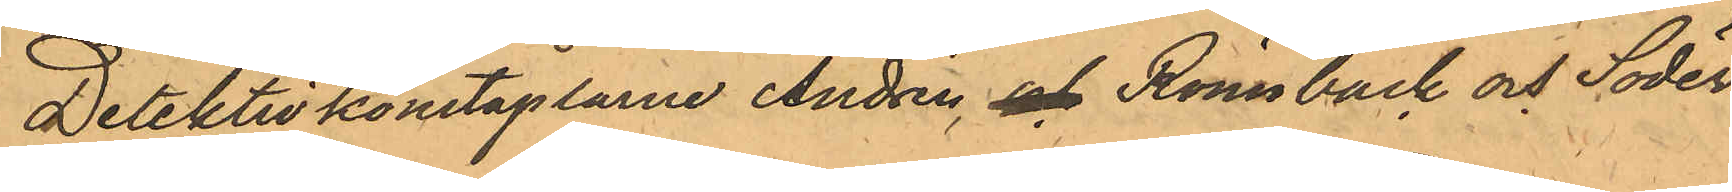Detektivkonstaplarne Andrén, och Rönnbäck och Söder¬
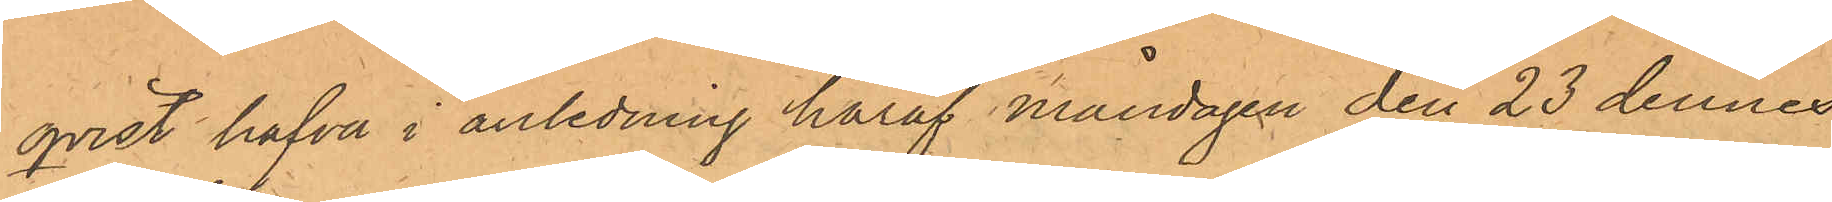qvist hafva i anledning häraf måndagen den 23 dennes
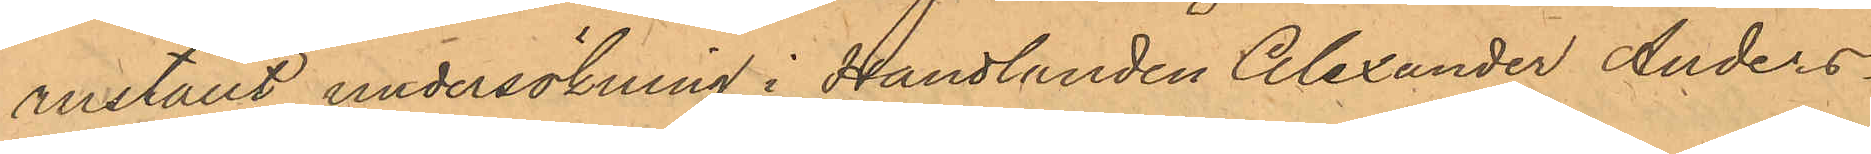anställt undersökning i Handlanden Alexander Anders¬
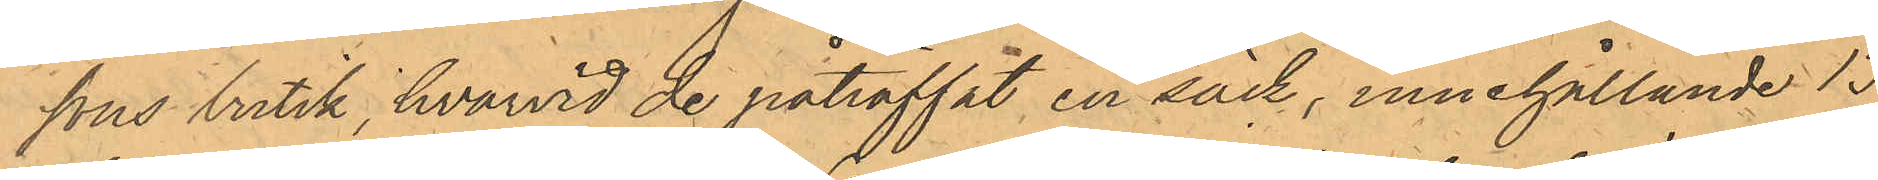sons butik, hvarvid de påträffat en säck, innehållande 13
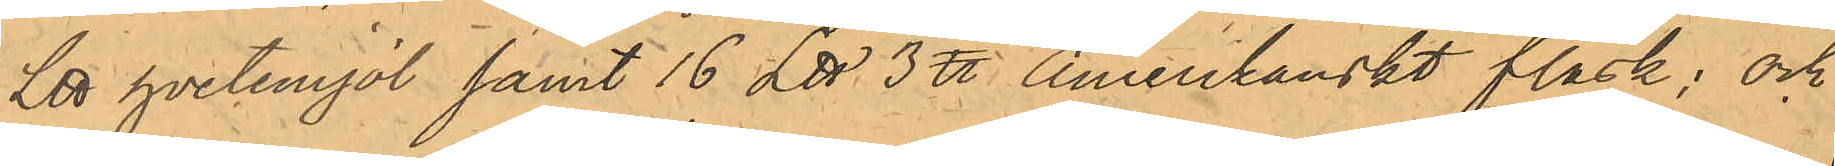L℔ hvetemjöl samt 16 L℔ 3  ℔ Amerikanskt fläsk; och
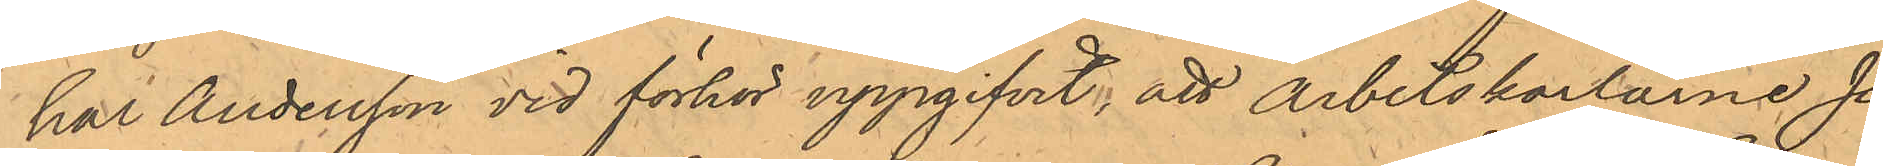har Andersson vid förhör uppgifvit, att Arbetskarlarne Jo¬
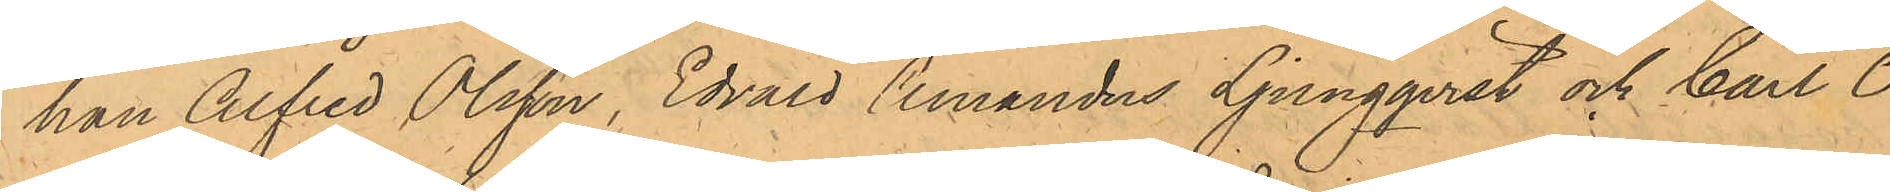han Alfred Olsson, Edvard Amandus Ljungqvist och Carl O¬
